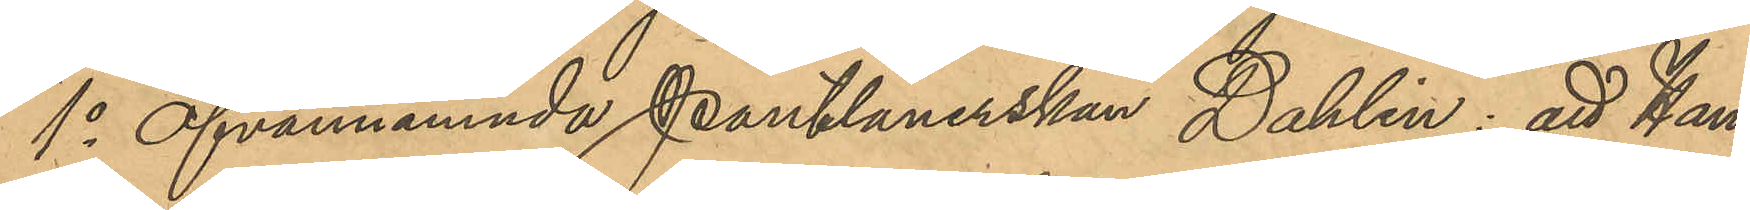1o ofvannämnde Pantlånerskan Dahlin: att Ham¬
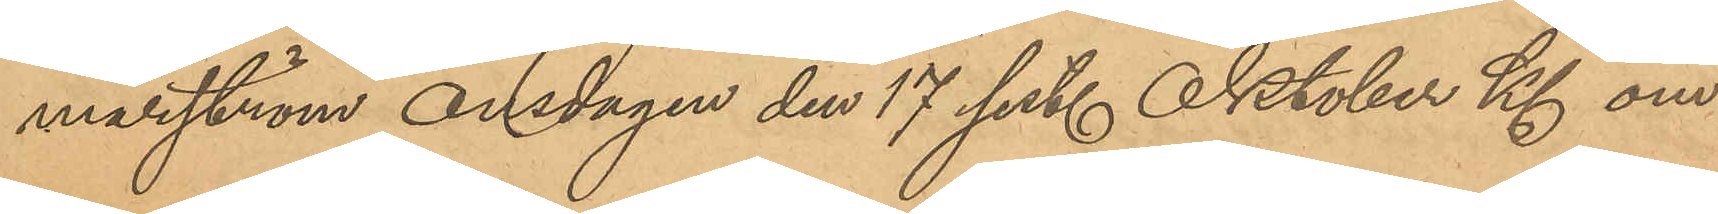marström onsdagen den 17 sist. Oktober Kl om¬
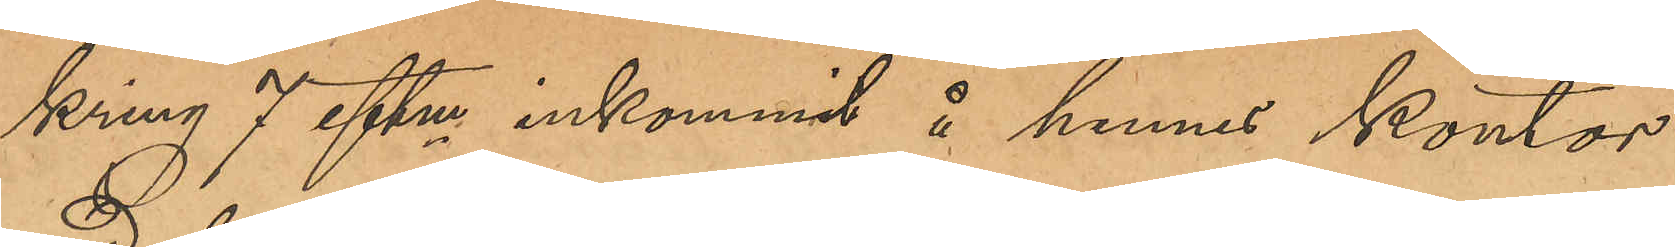kring 7 eftm inkommit å hennes kontor
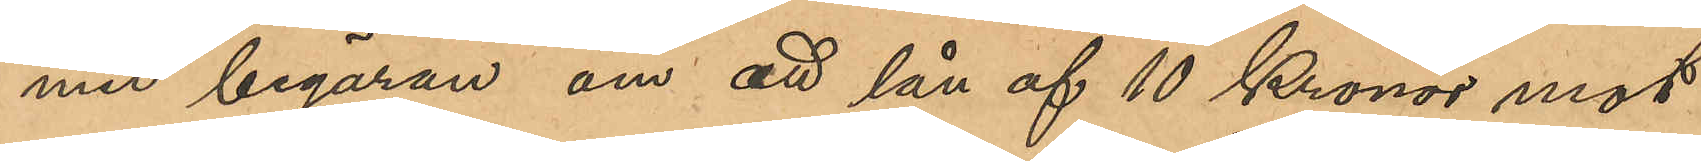med begäran om ett lån af 10 Kronor mot
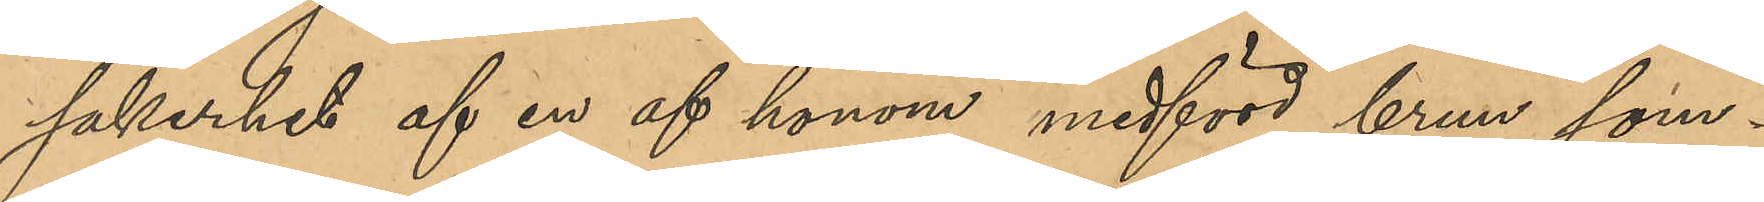säkerhet af en af honom medförd brun som¬
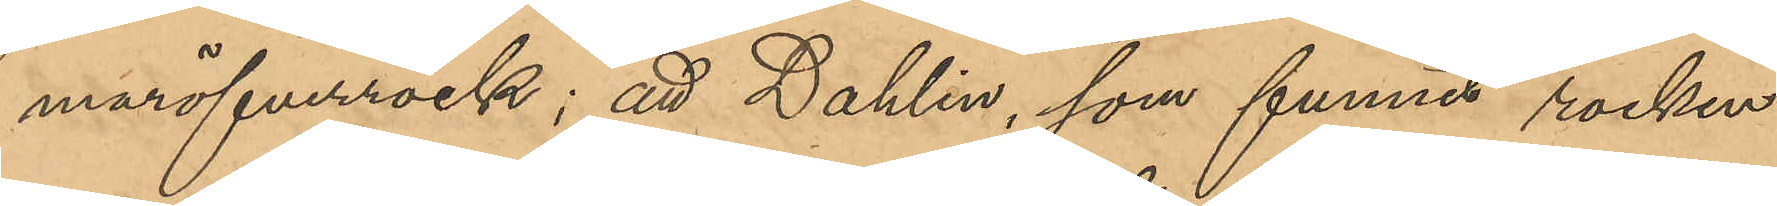maröfverrock; att Dahlin, som funnit rocken
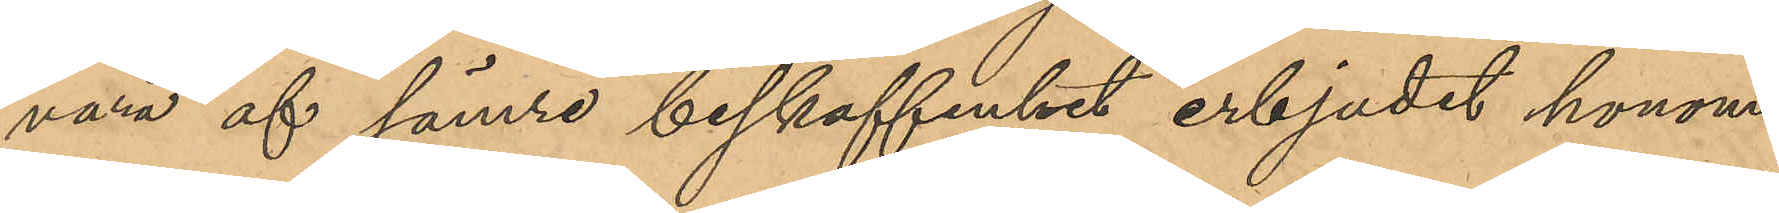vara af sämre beskaffenhet erbjudit honom
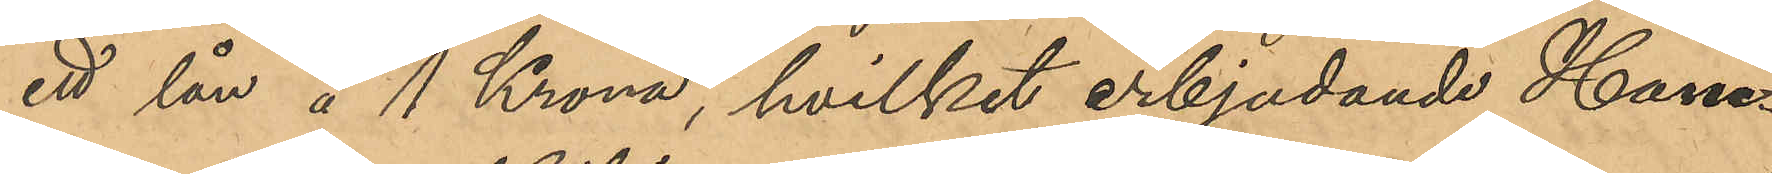ett lån af 1 Krona, hvilket erbjudande Ham¬
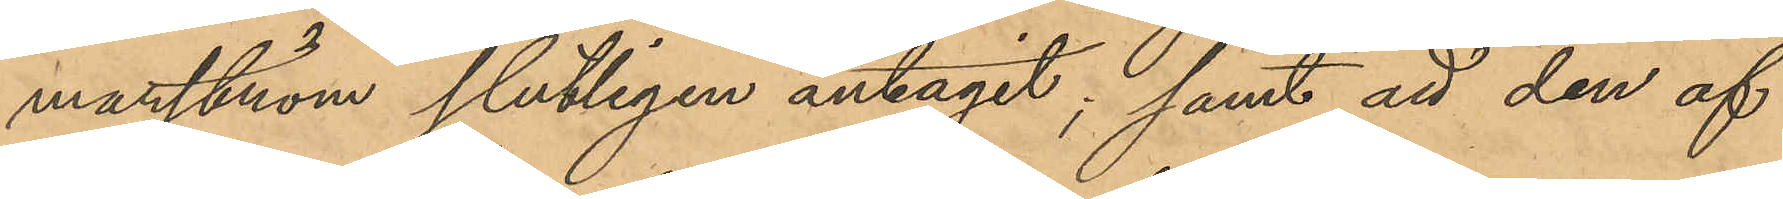marström slutligen antagit; samt att den af
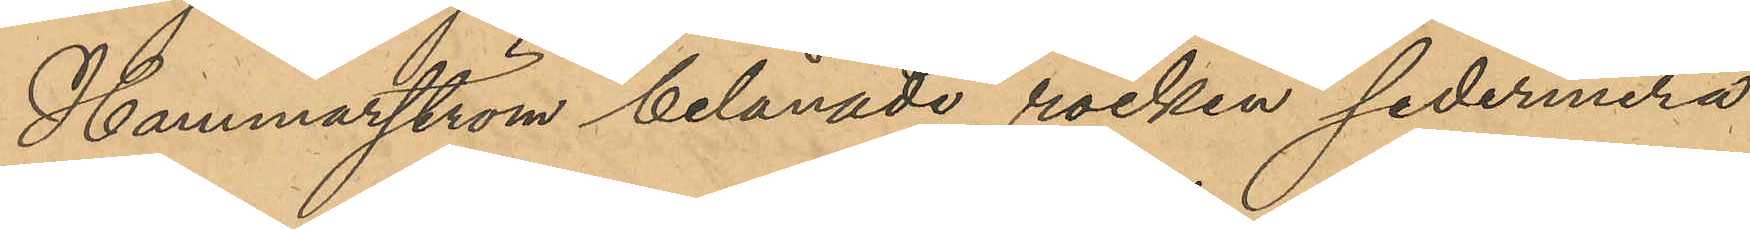Hammarström belånade rocken sedermera
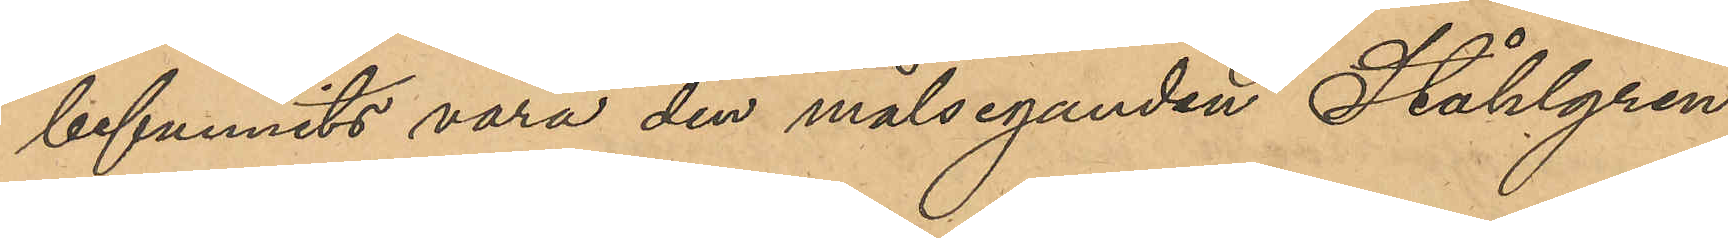befunnits vara den målseganden Ståhlgren
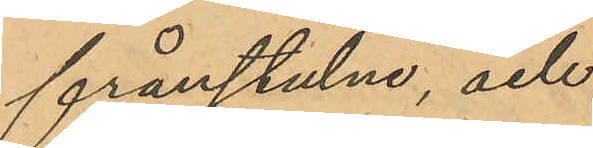frånstulne, och
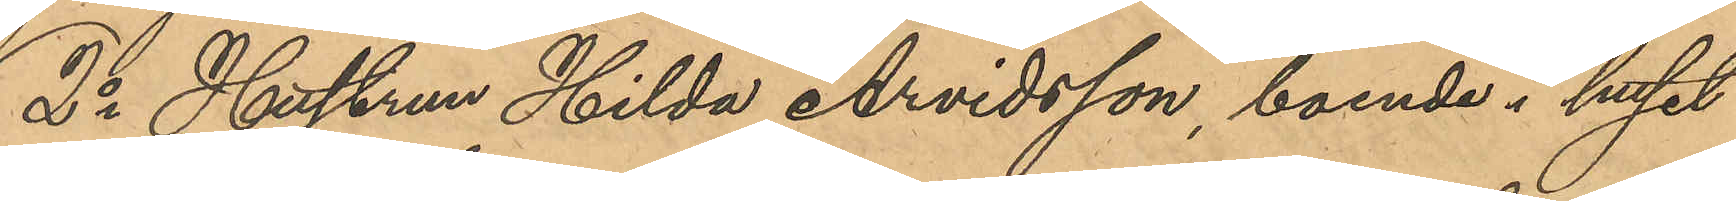2o Hustrun Hilda Arvidsson, boende i huset
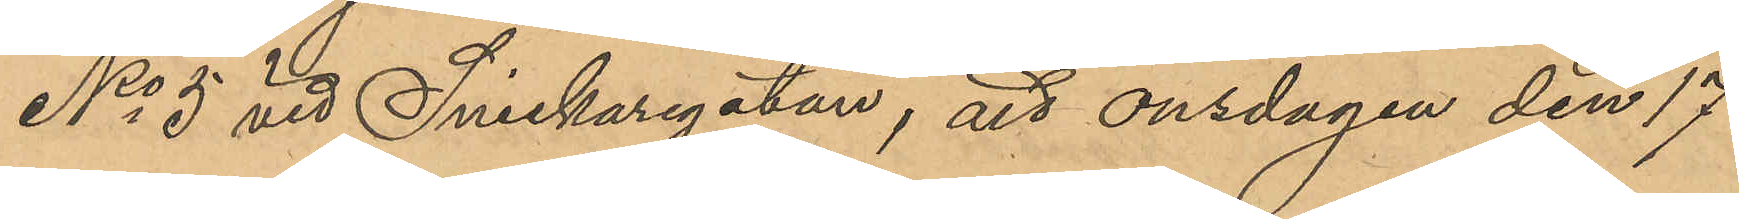No 5 vid Snickaregatan, att onsdagen den 17
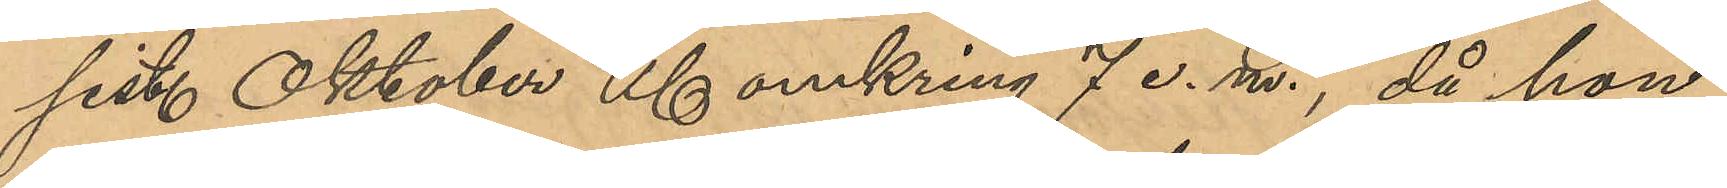sist. Oktober Kl omkring 7 e.m., då hon
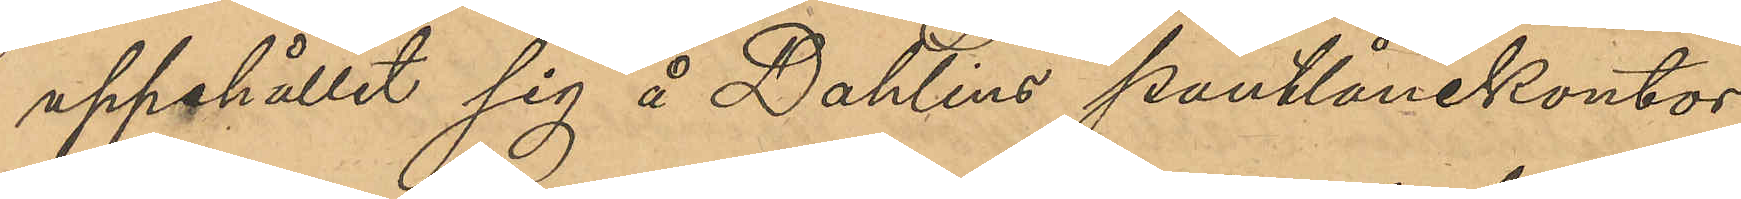uppehållit sig å Dahlins pantlånekontor,
